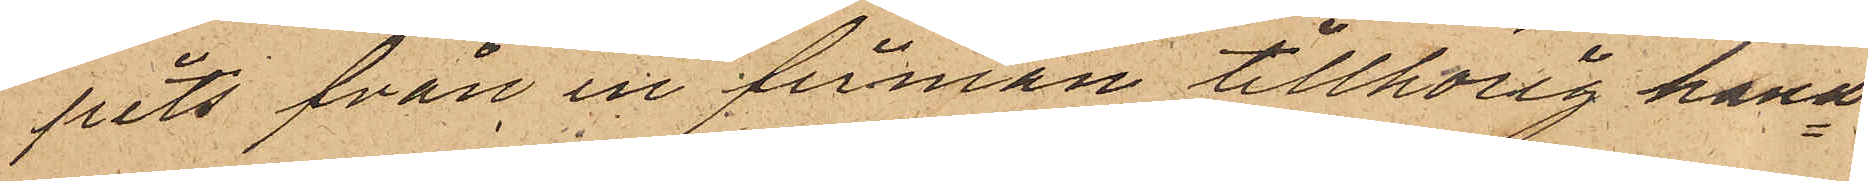pits från en firman tillhörig hand¬
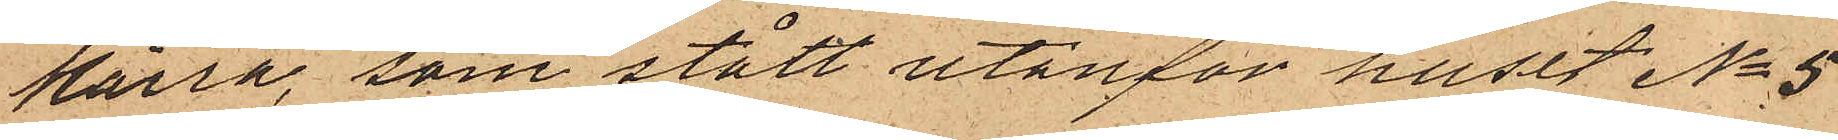kärra, som stått utanför huset No 5
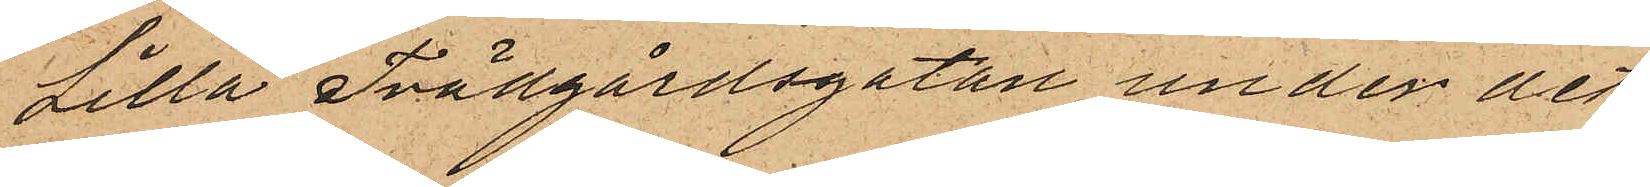Lilla Trädgårdsgatan under det
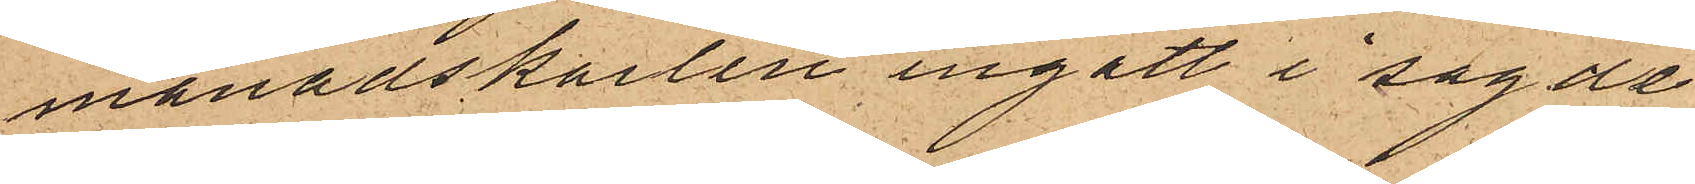månadskarlen ingått i sagde
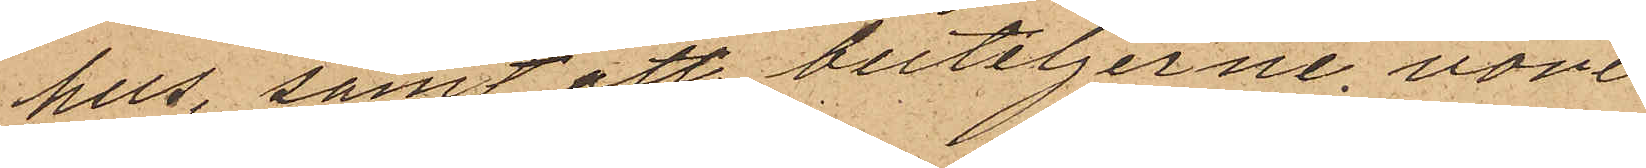hus, samt att buteljerne vore
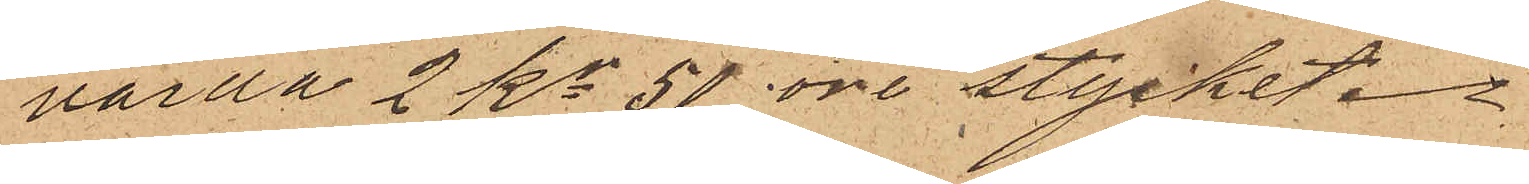värda 2 kr 50 öre stycket.
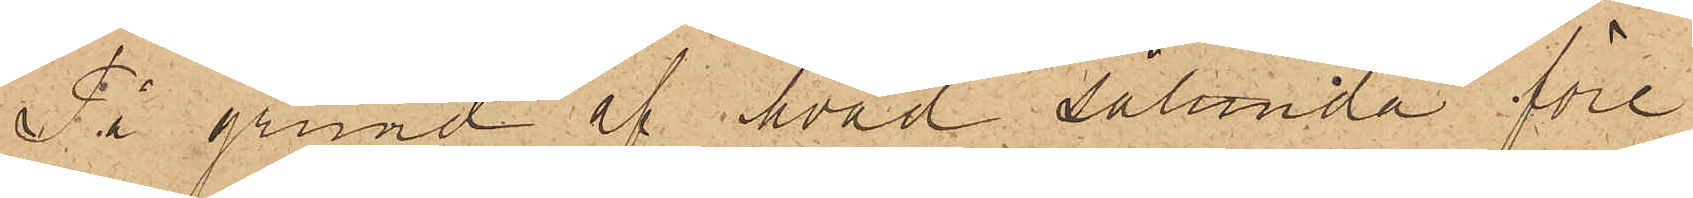På grund af hvad sålunda före¬
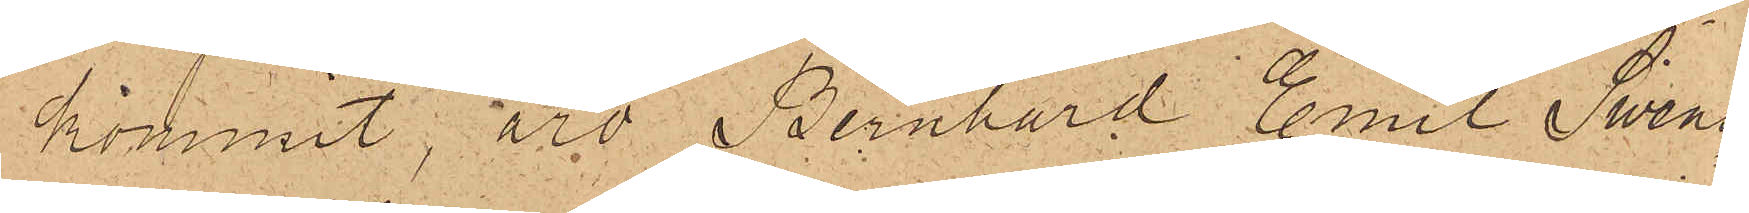kommit, äro Bernhard Emil Swens¬
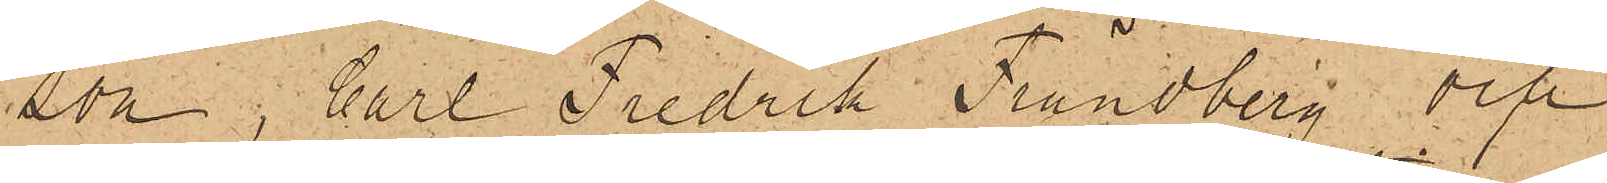son, Carl Fredrik Lundberg och
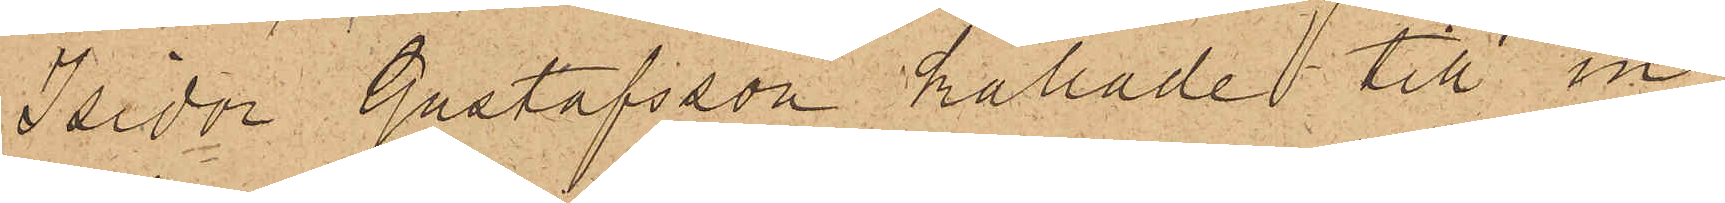Isidor Gustafsson kallade till in¬
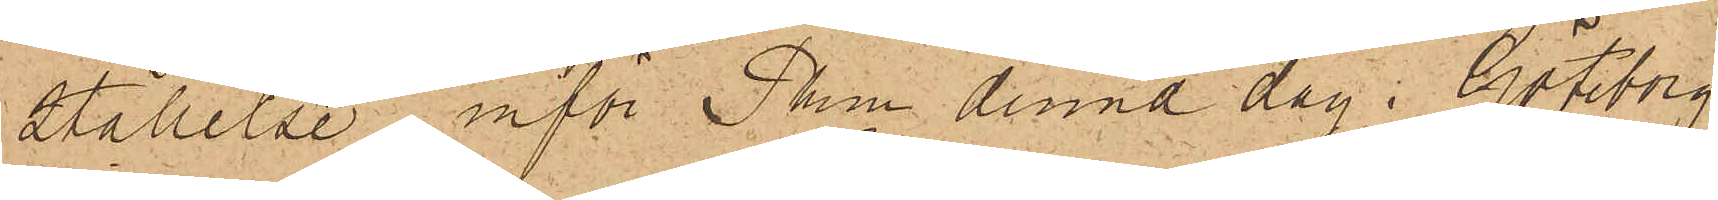ställelse inför Pkn denna dag. Göteborg
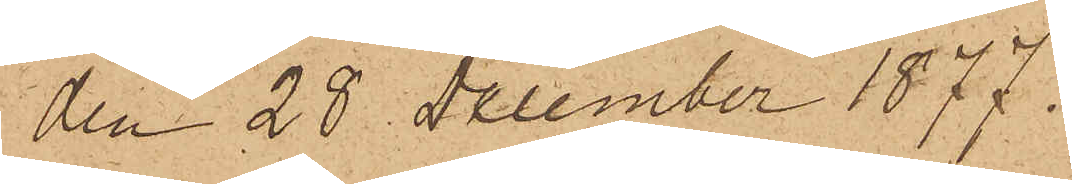den 28 December 1877.
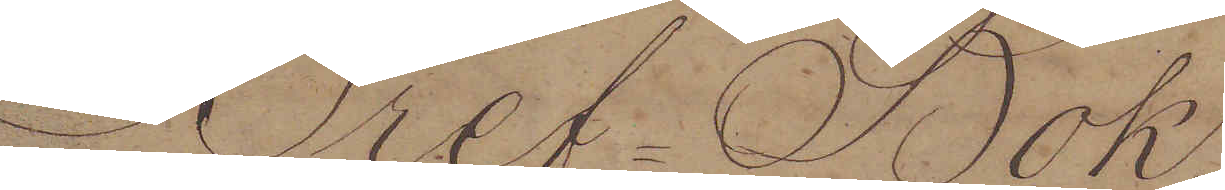Bref-Bok.
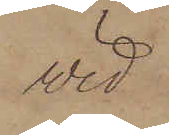vid
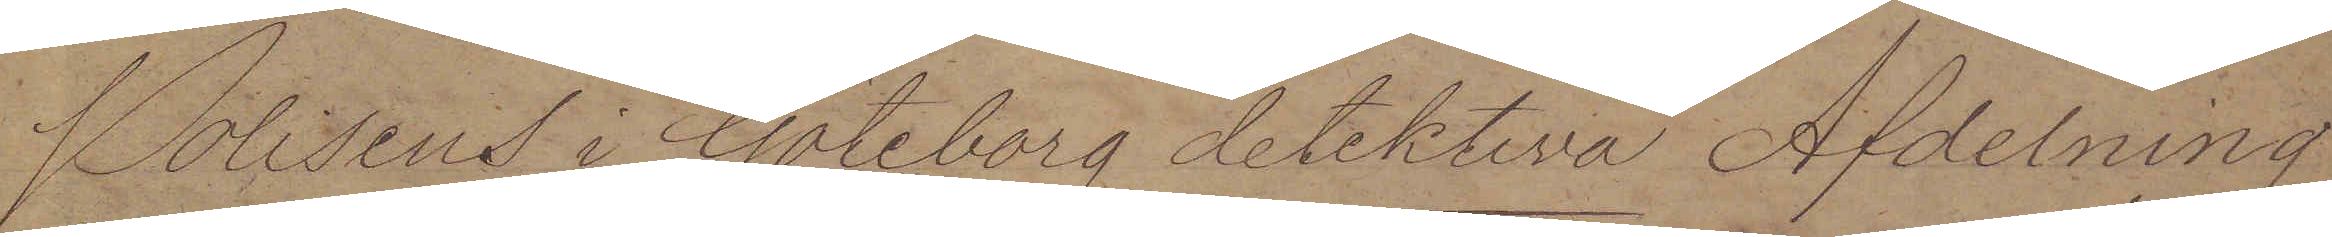Polisens i Göteborg detektiva Afdelning
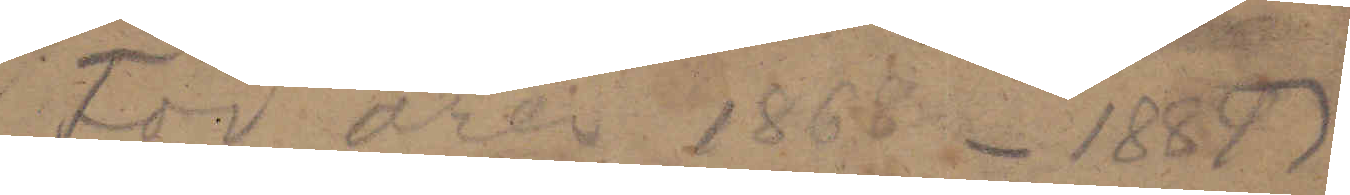För åren 1868-1889
